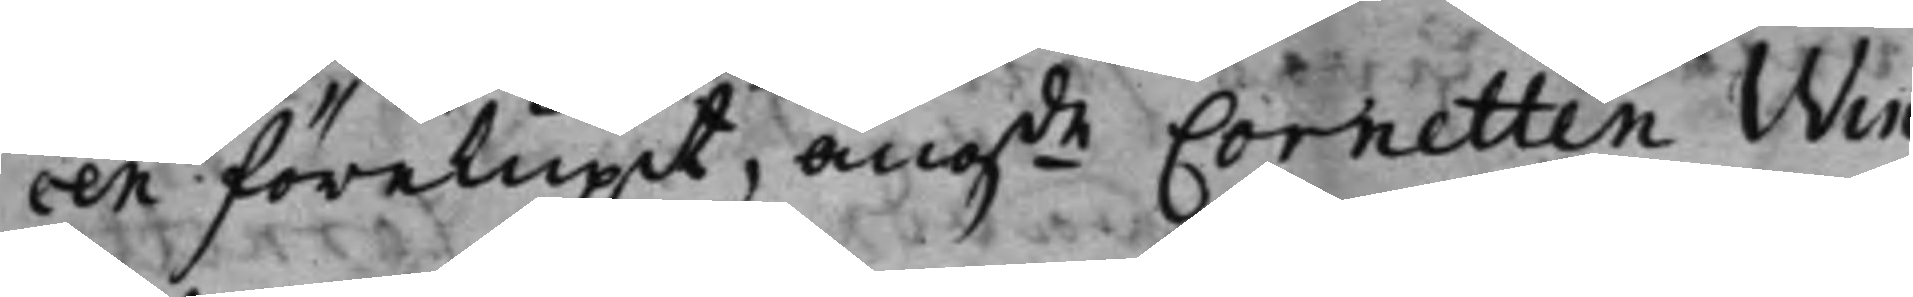cen förelupit, angde Cornetten Win¬
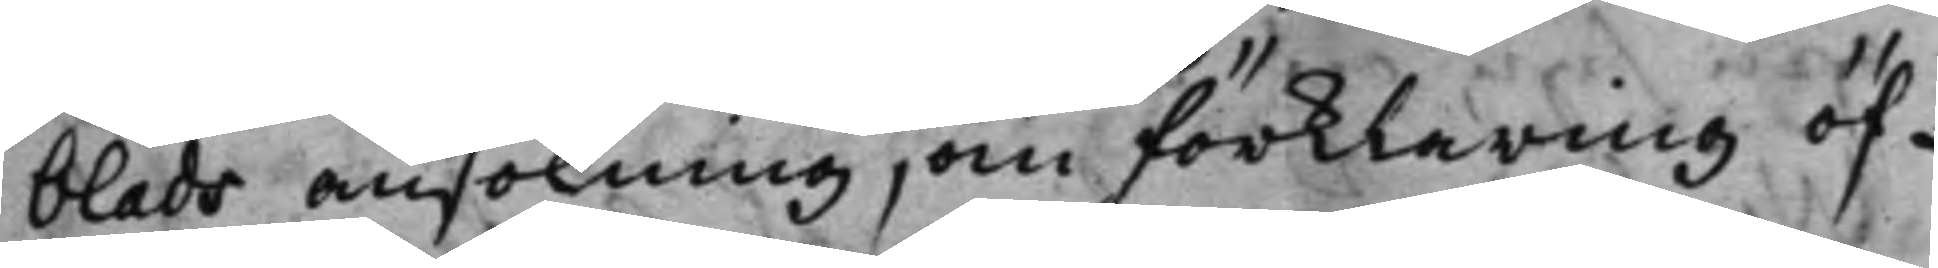blads ansökning, om förklaring öf¬
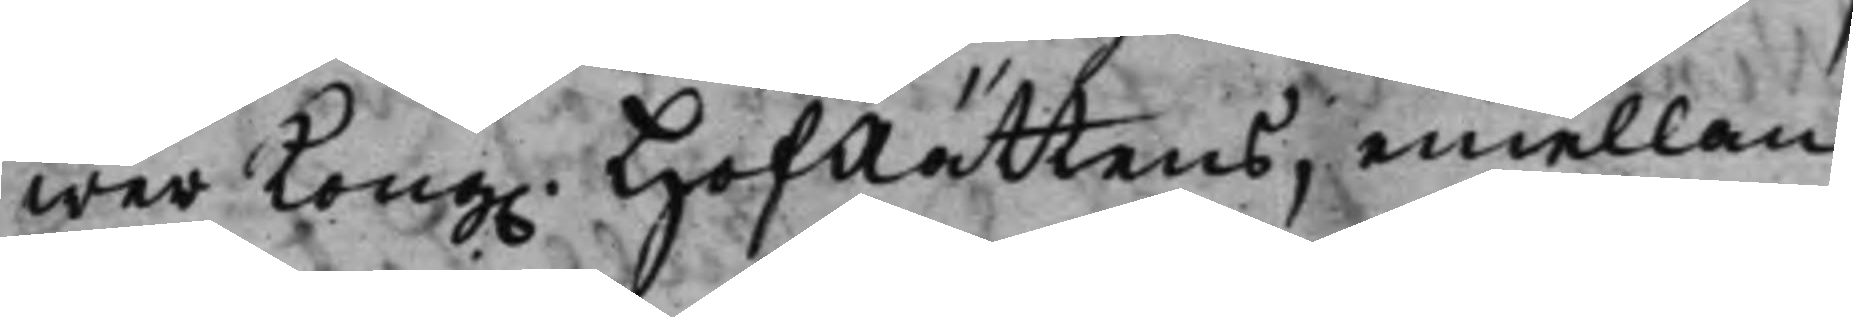wer Kong. HofRättens, emellan
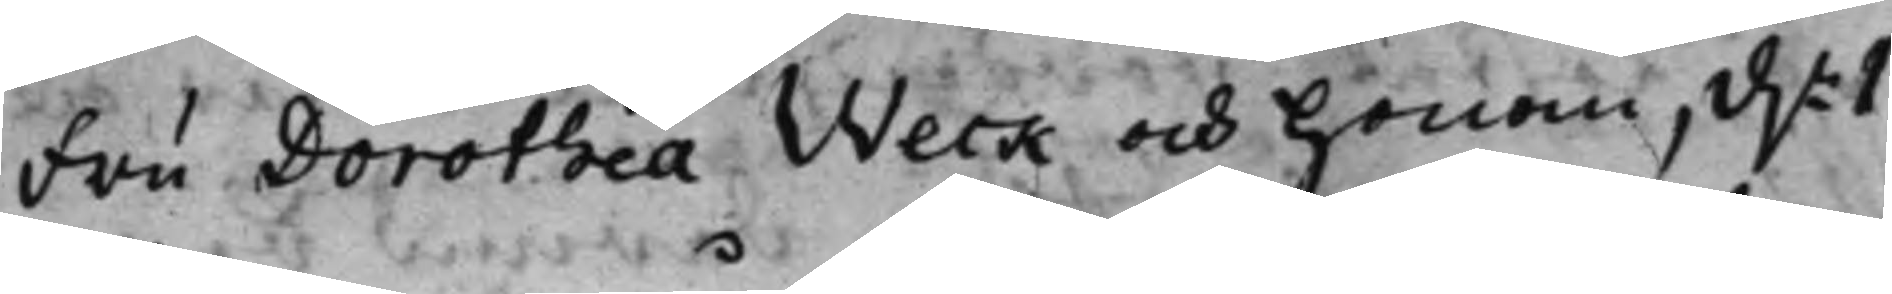Fru Dorothea Weck och honom, d.n 1
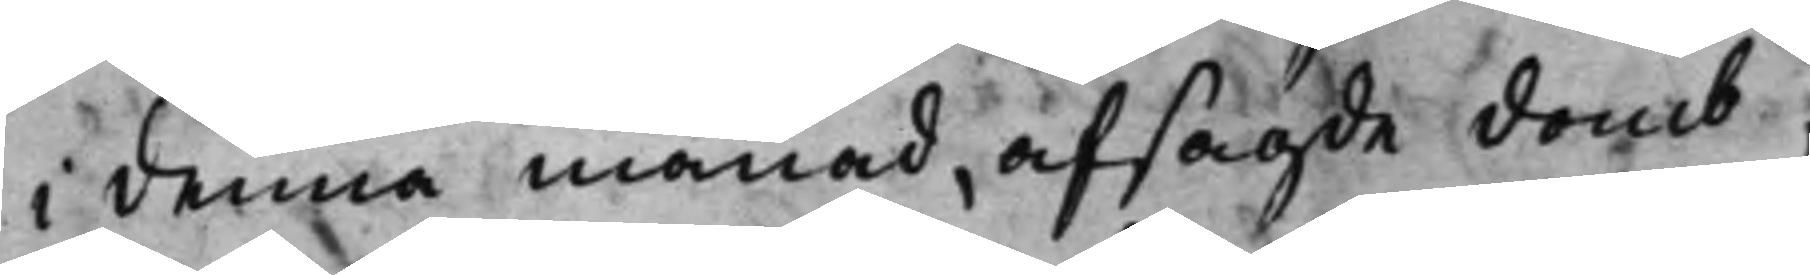i denna månad, afsagde domb;
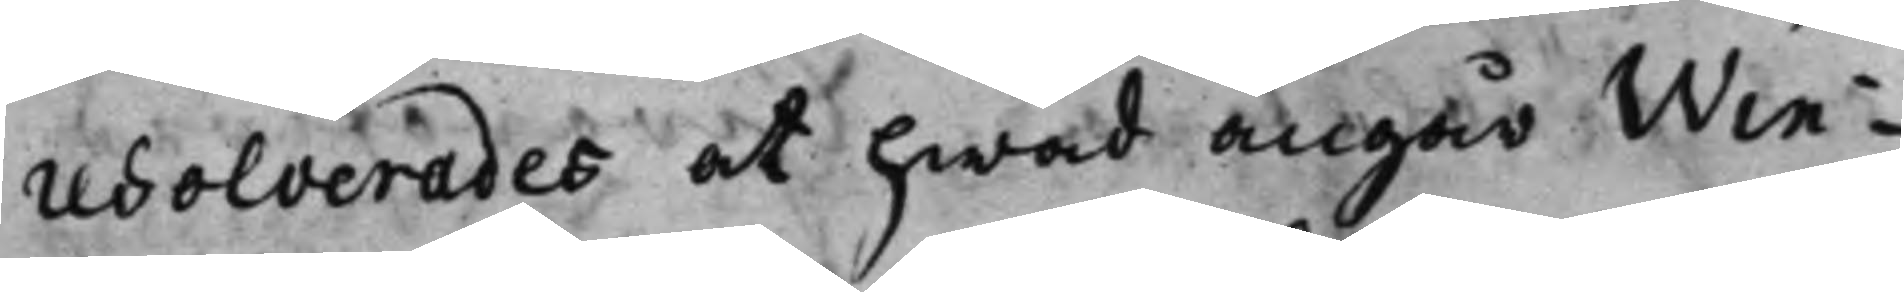resolverades at hwad angår Win¬
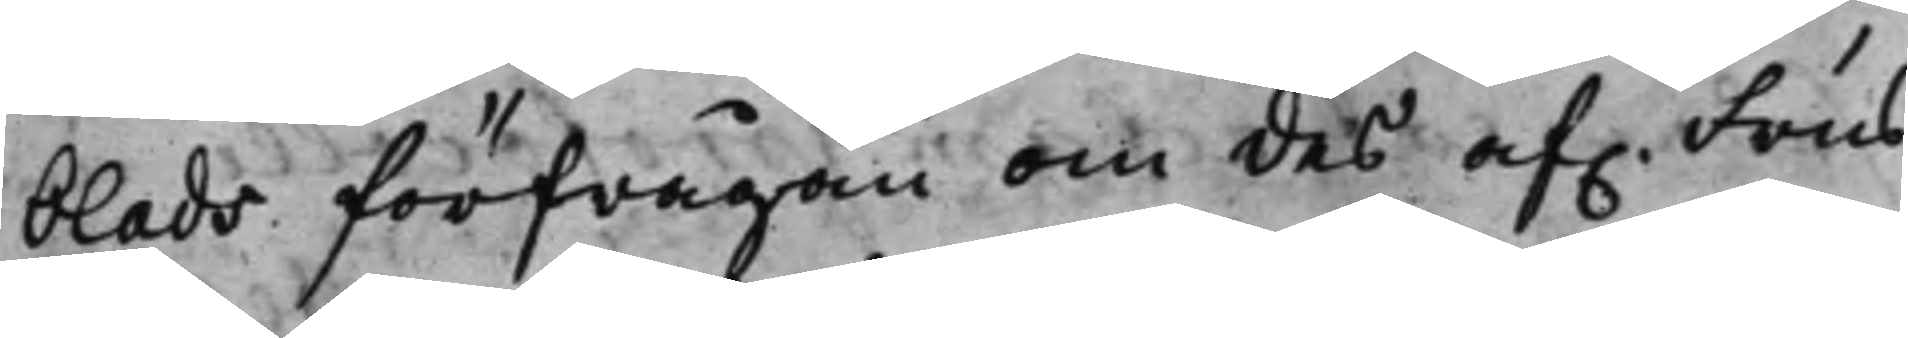blads förfrågan om des af. Frus
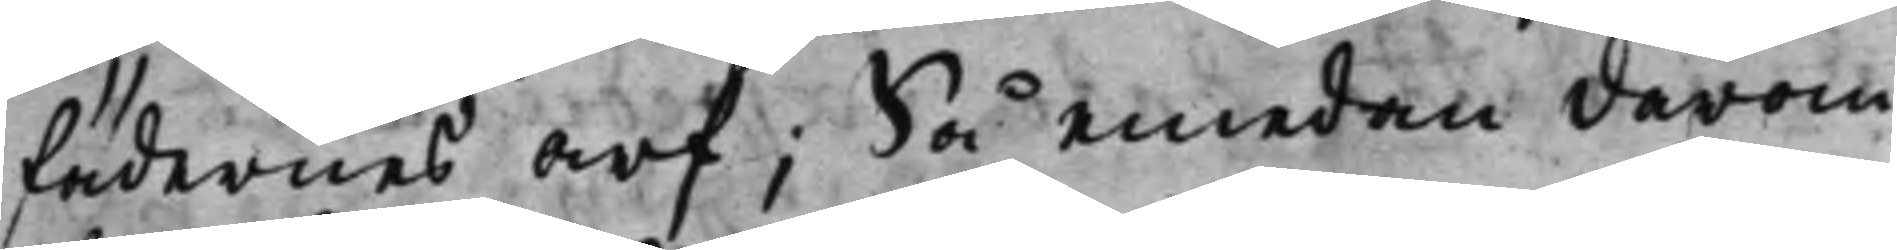fädernes arf; Så emedan därom
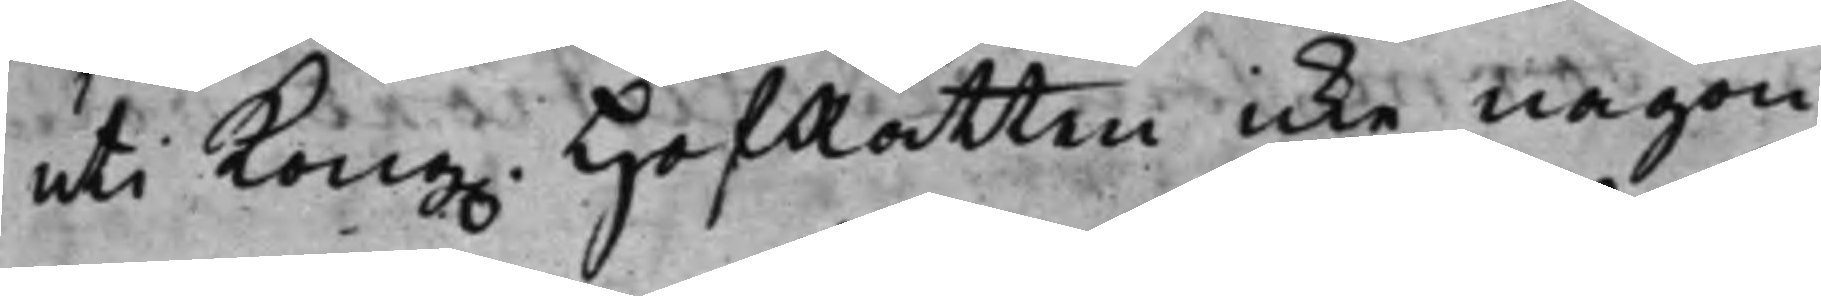uti Kong. HofRätten icke någon
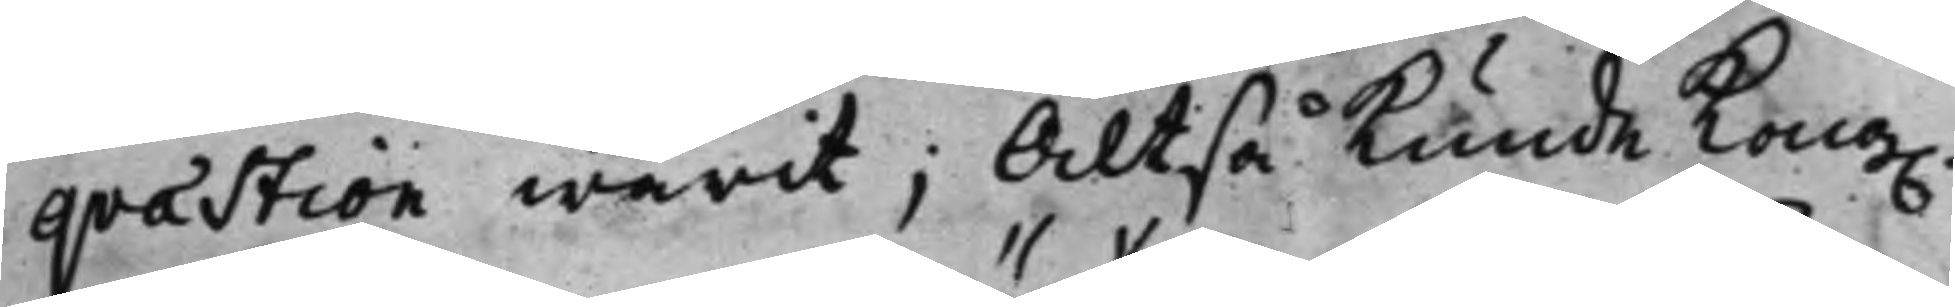qvaestion warit; Altså Kunde Kong.
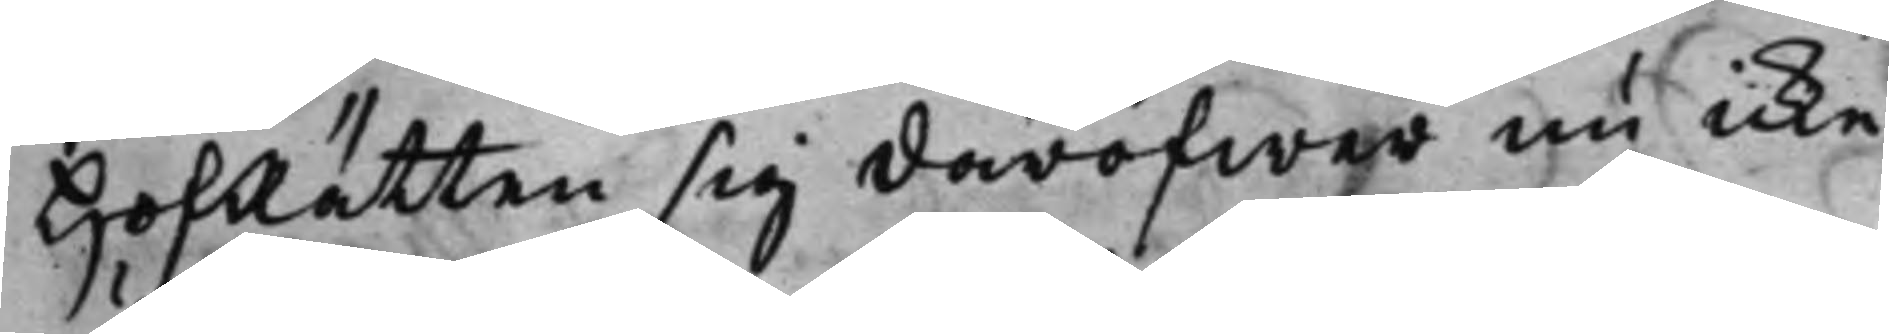HofRätten sig däröfwer nu icke
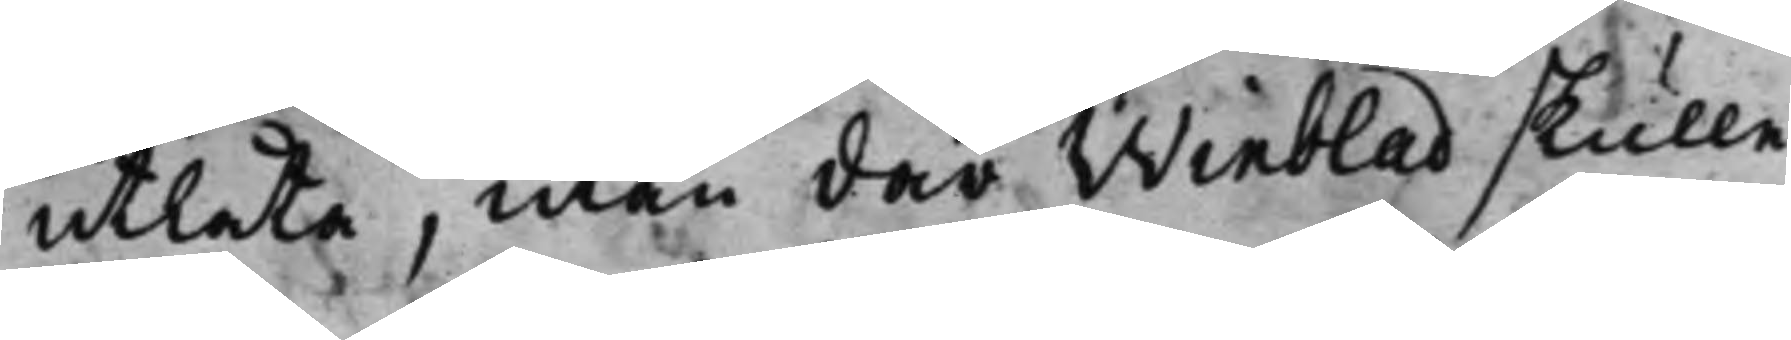utlåta, utan där Winblad skulle
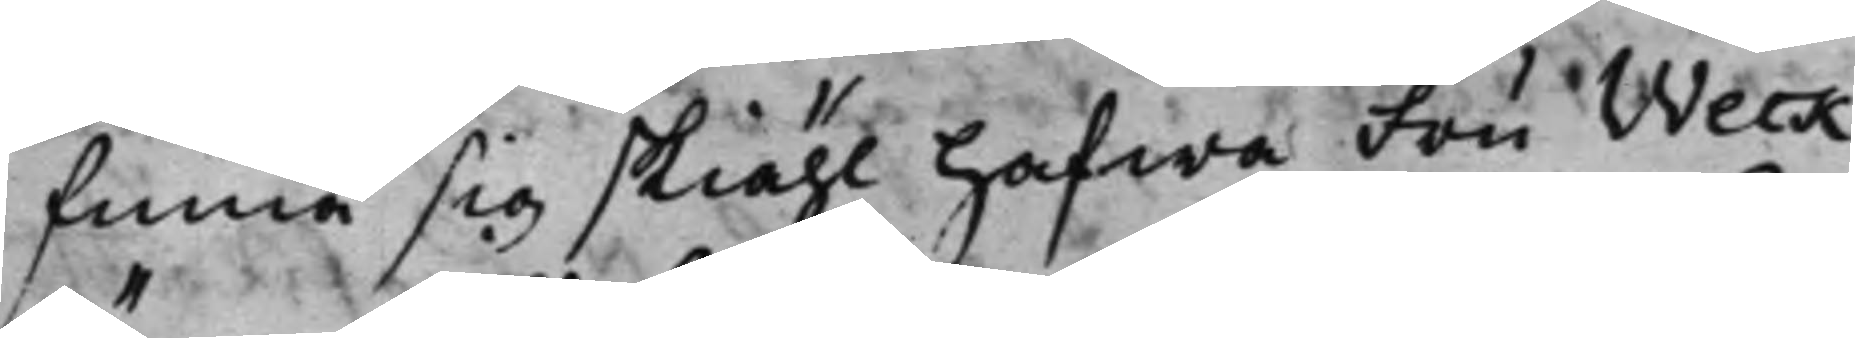finna sig skiähl hafwa Fru Weck
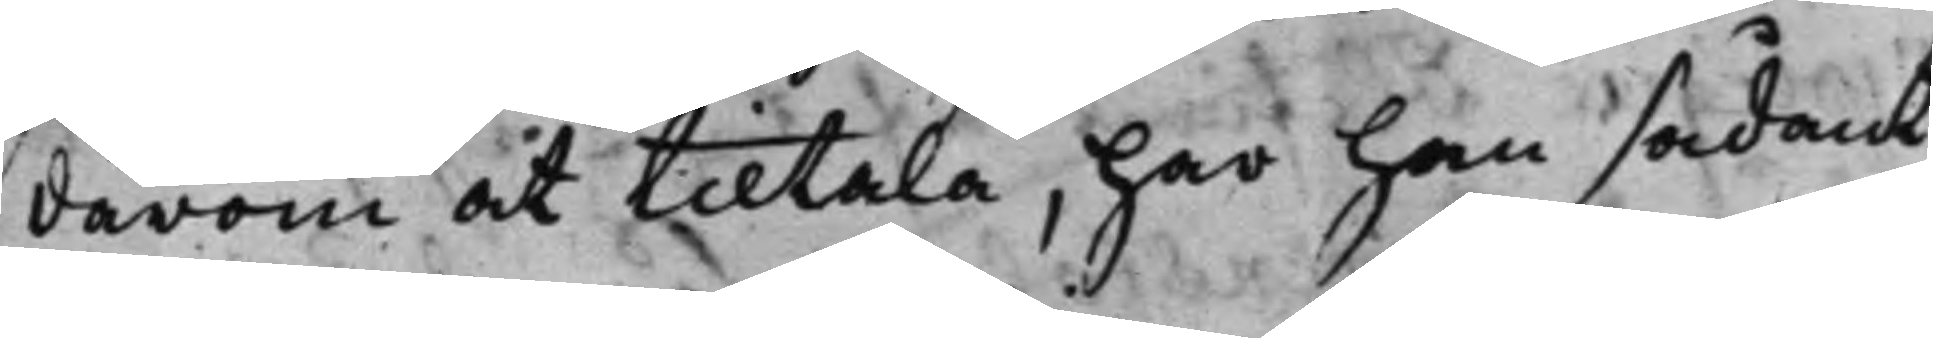därom at tiltala, har han sådant
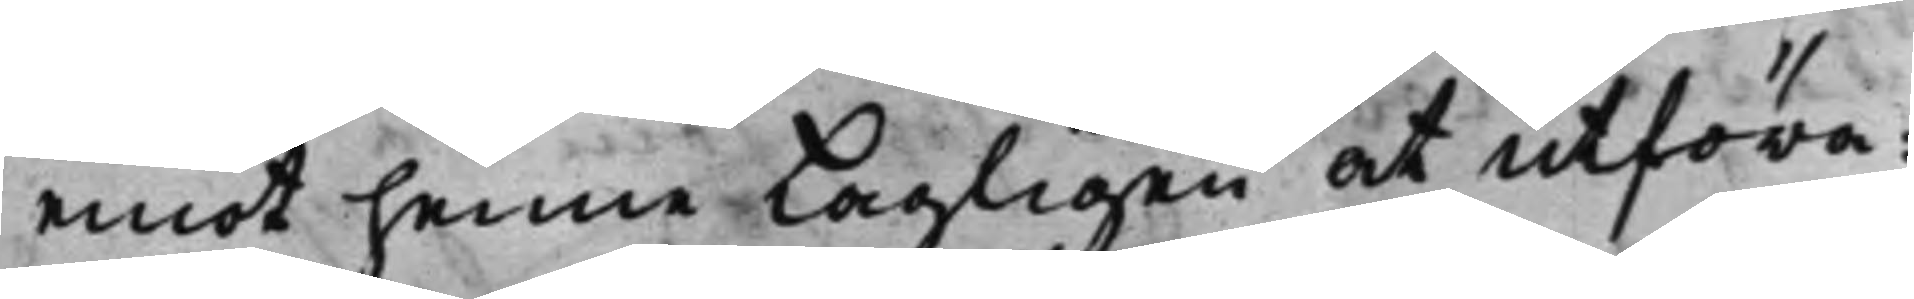emot henne Lagligen at utföra:
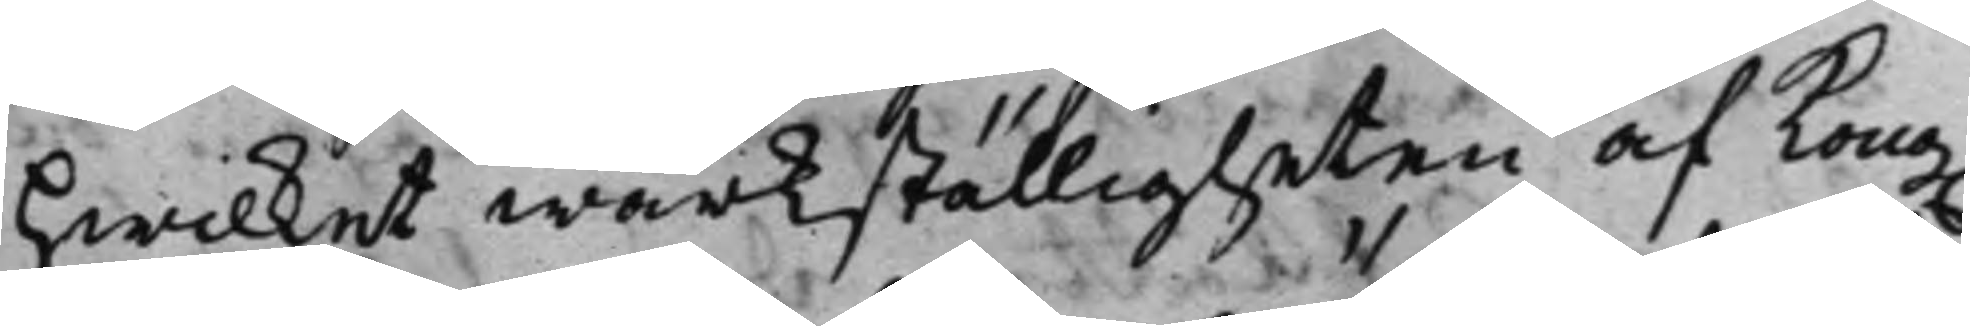Hwilket wärkställigheten af Kong.
